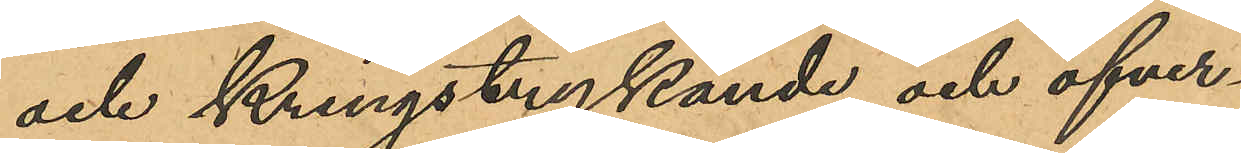och kringstrykande och öfver¬
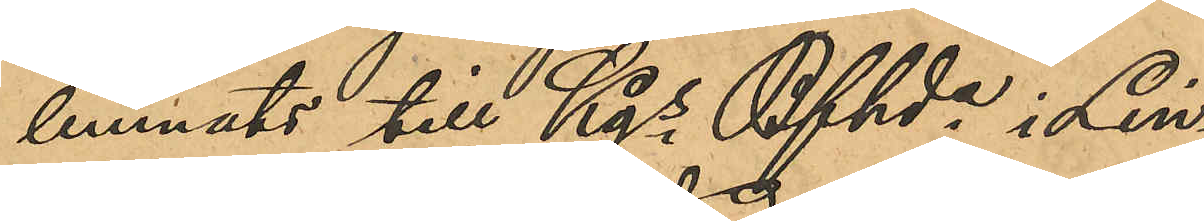lemnats till Kgs Bfhde i Lin¬
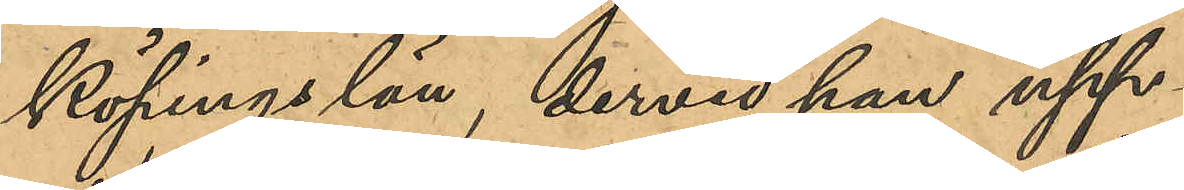köpings län, dervid han upp¬
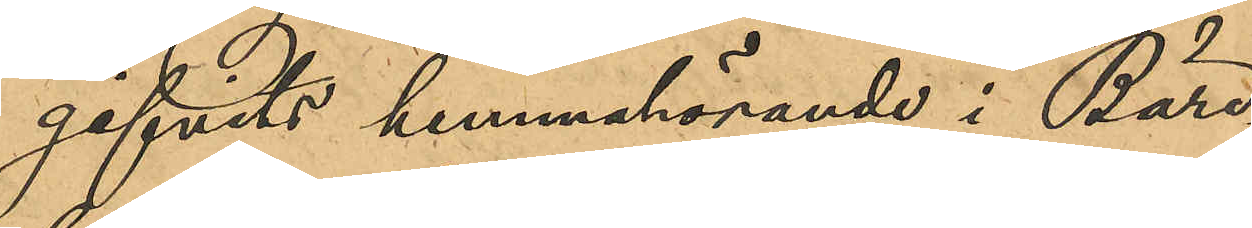gifvits hemmahörande i Bäre¬
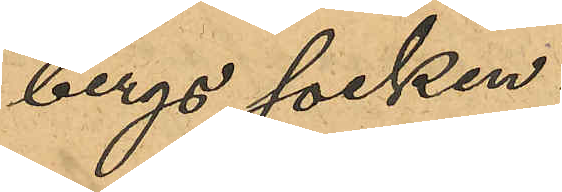bergs socken.
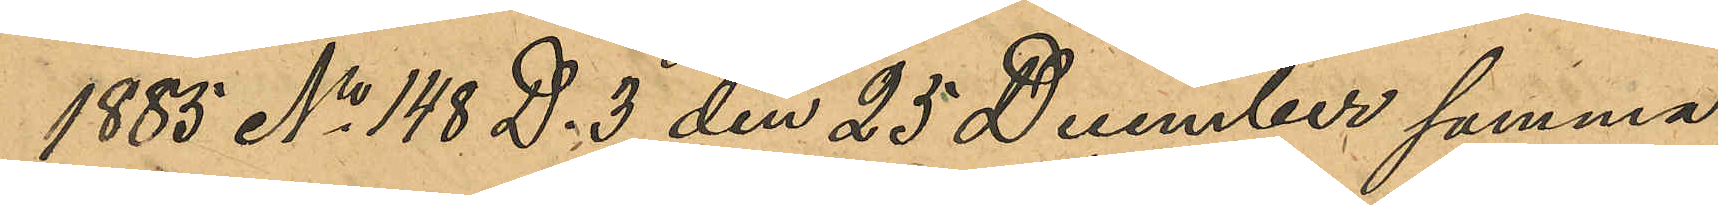1885 No 148 D.3 den 25 December samma
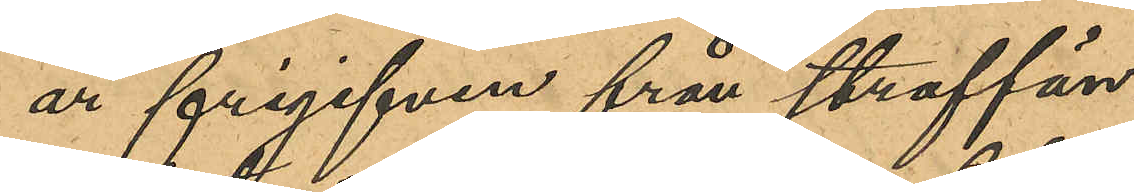år frigifven från straffän¬
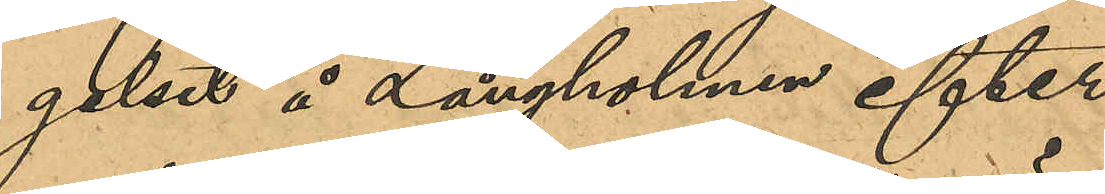gelset å Långholmen efter
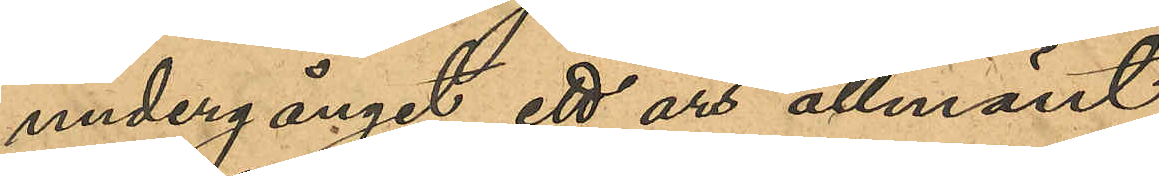undergånget ett års allmänt
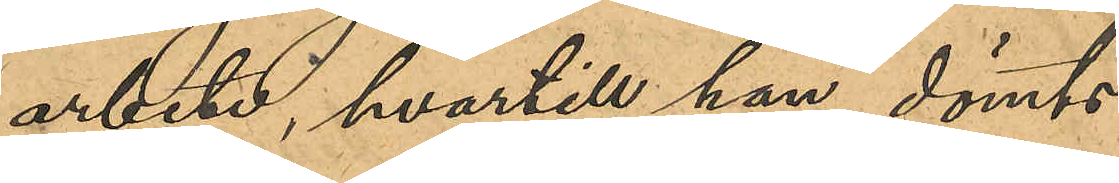arbete, hvartill han dömts
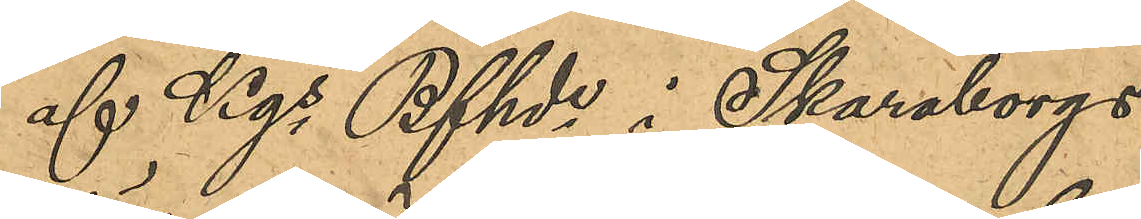af Kgs Bfhde i Skaraborgs
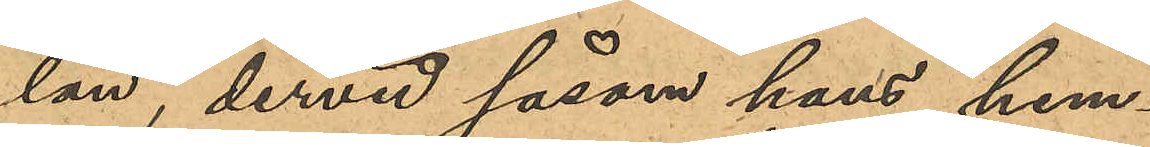län, dervid såsom hans hem¬
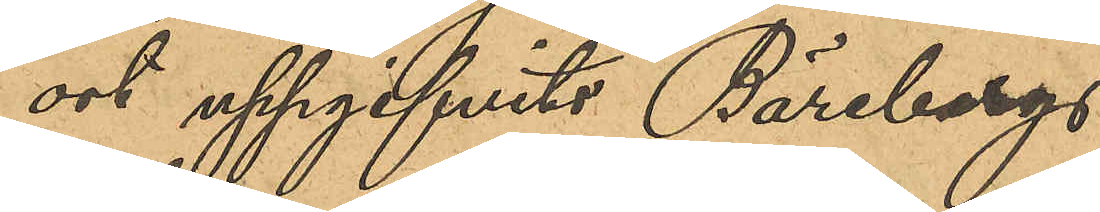ort uppgifvits Bärebergs
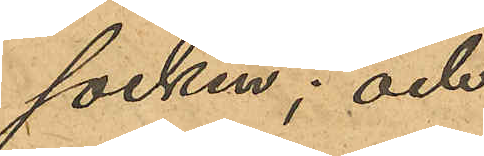socken ; och 
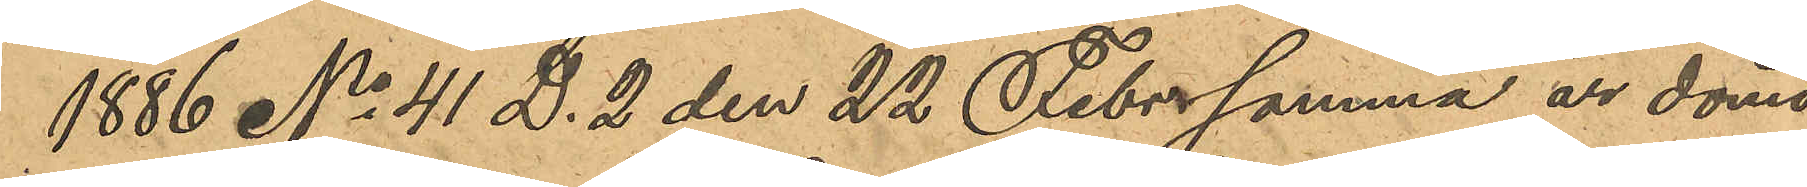1886 No 41 D.2 den 22 Febr. samma år dömd
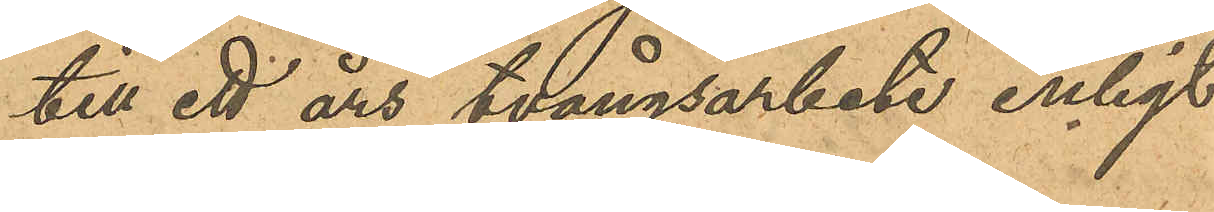till ett års tvångsarbete enligt
